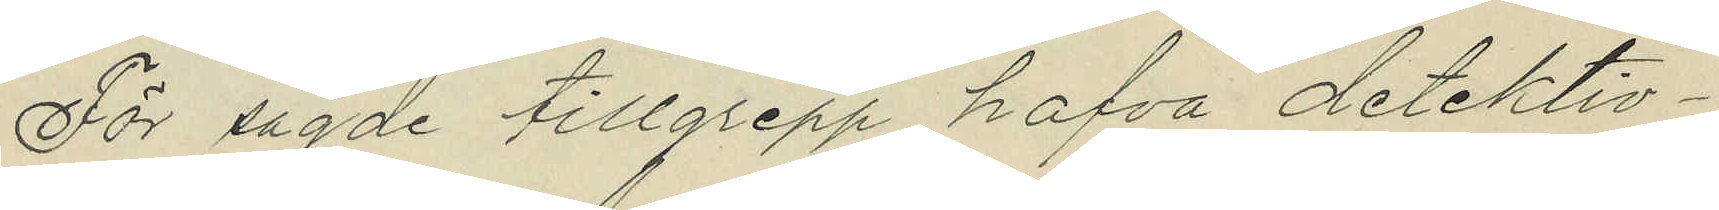För sagde tillgrepp hafva detektiv¬
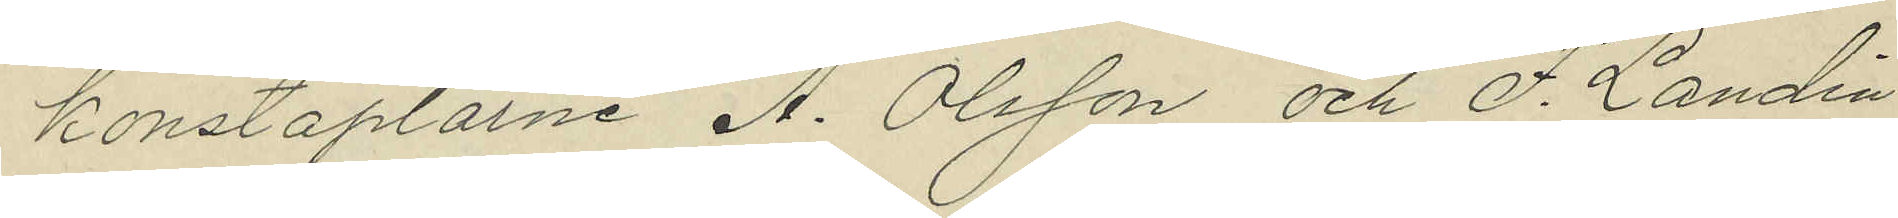konstaplarne A. Olsson och F. Landin
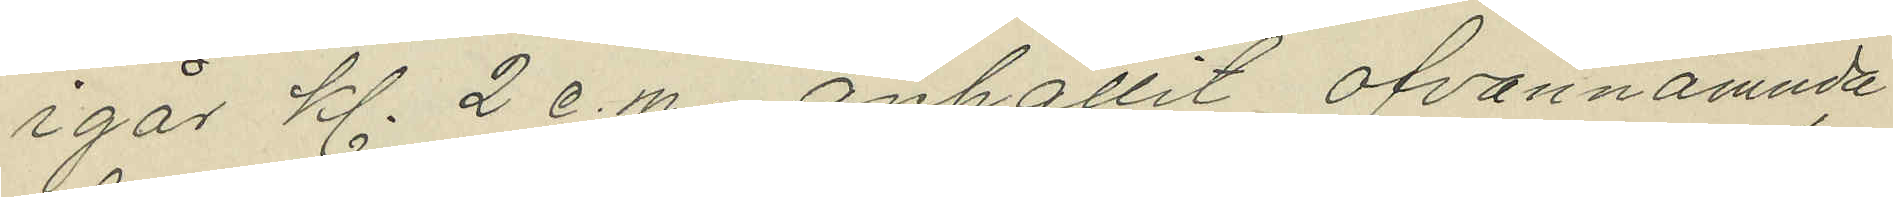igår kl. 2 e.m. anhållit ofvannämnde
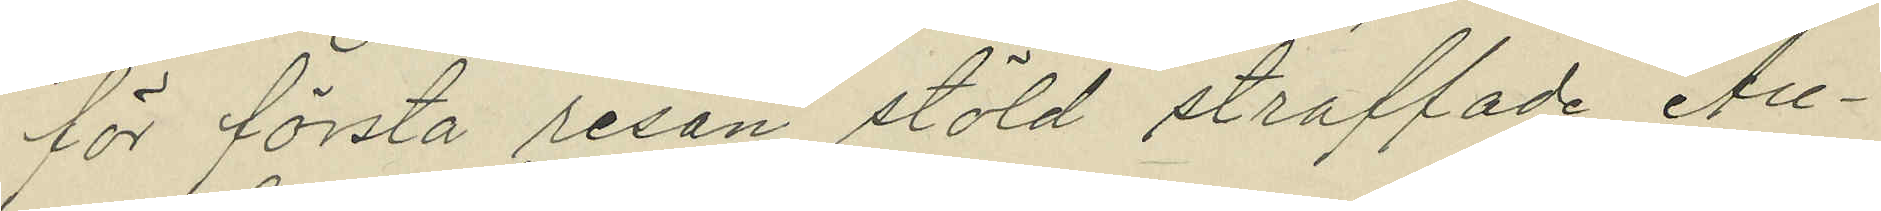för första resan stöld straffade Au¬
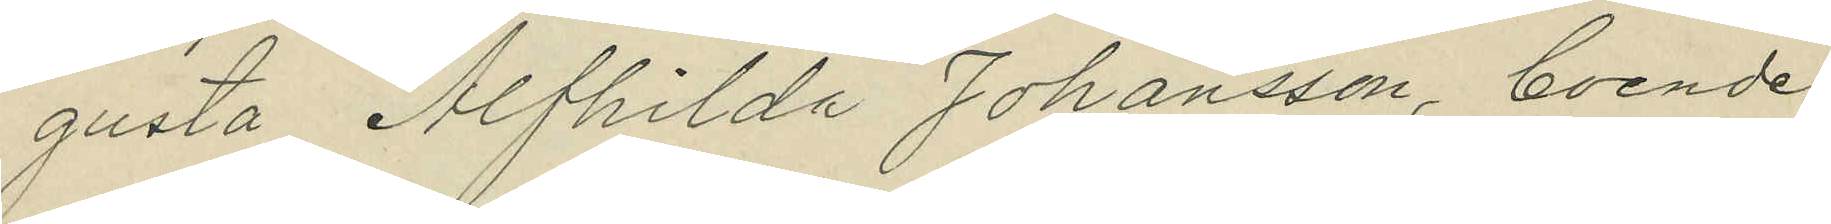gusta Alfhilda Johansson, boende
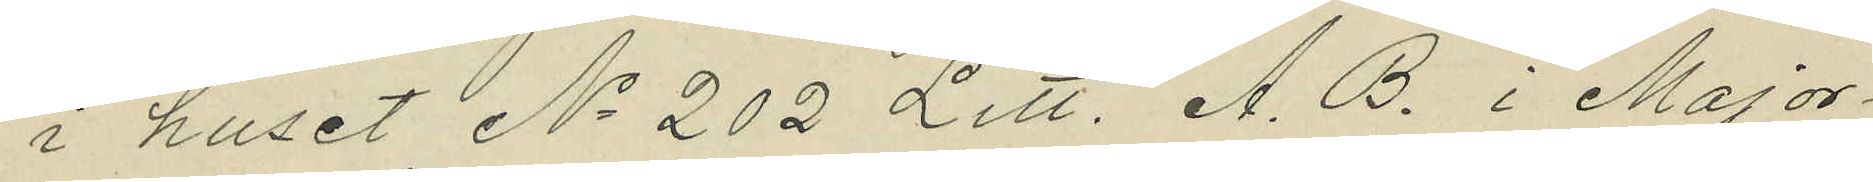i huset No 202 Litt. A. B. i Major¬
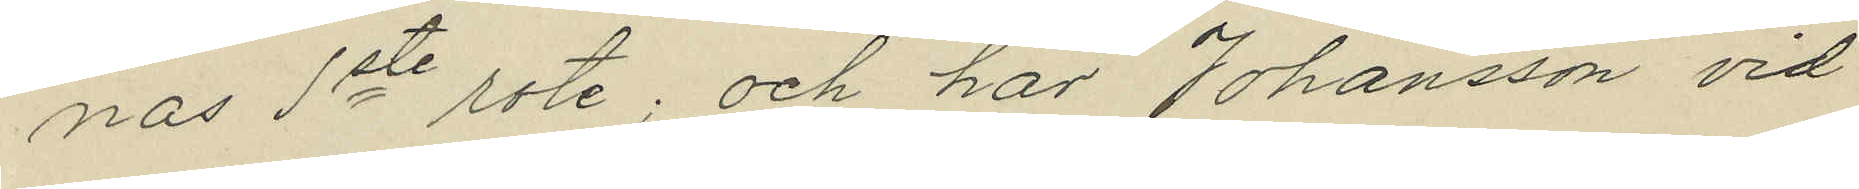nas 1ste rote; och har Johansson vid
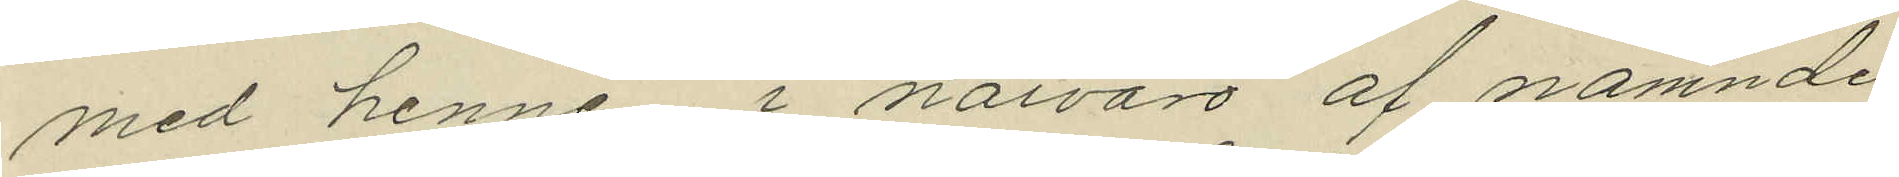med henne, i närvaro af nämnde
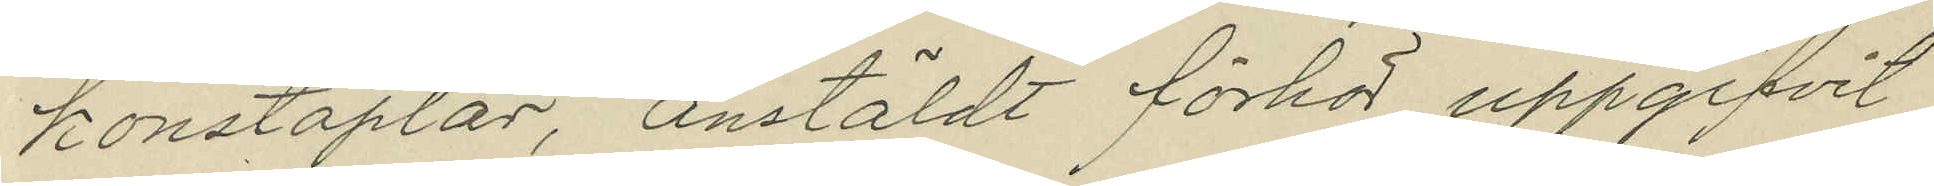konstaplar, anstäldt förhör uppgifvit
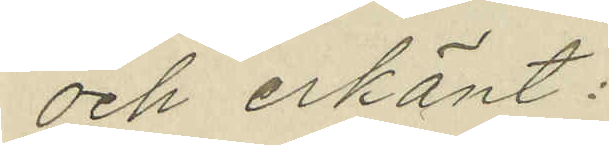och erkänt:
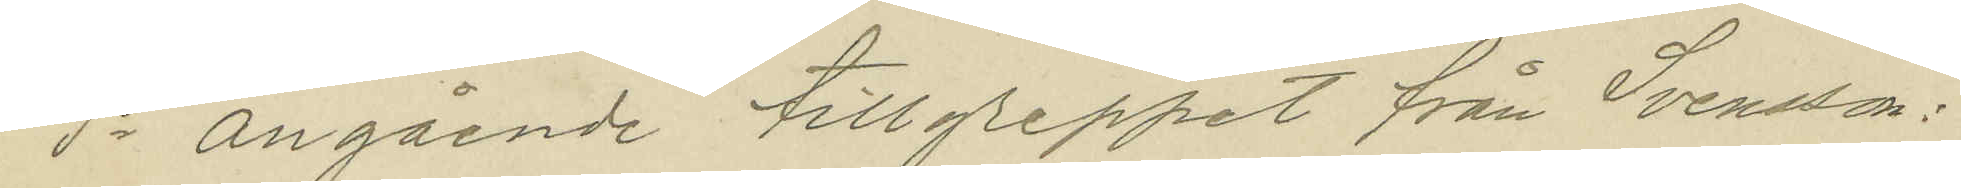1o angående tillgreppet från Svensson:
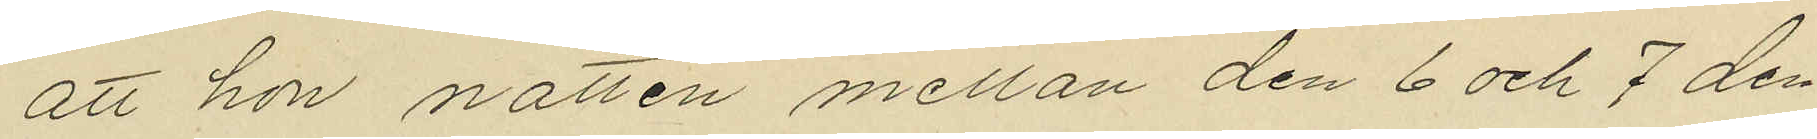att hon natten mellan den 6 och 7 den¬
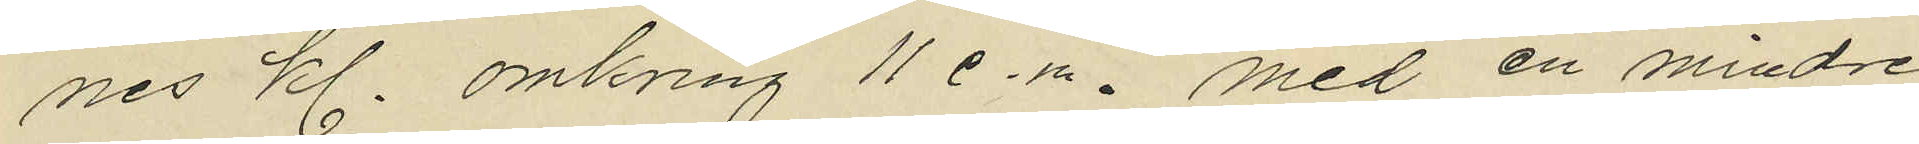nes kl. omkring 11 e.m. med en mindre
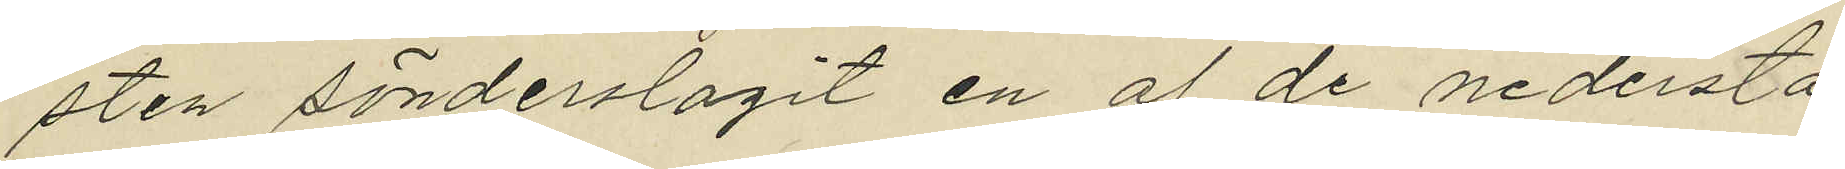sten sönderslagit en af de nedersta
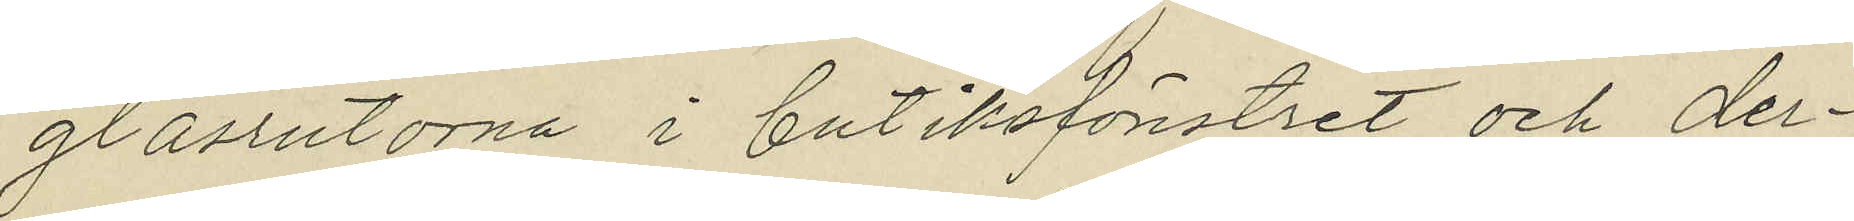glasrutorna i butiksfönstret och der¬
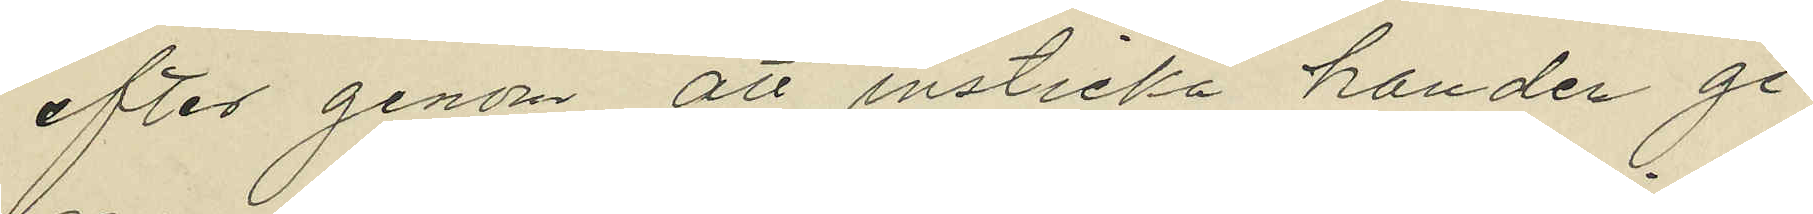efter genom att insticka handen ge¬
